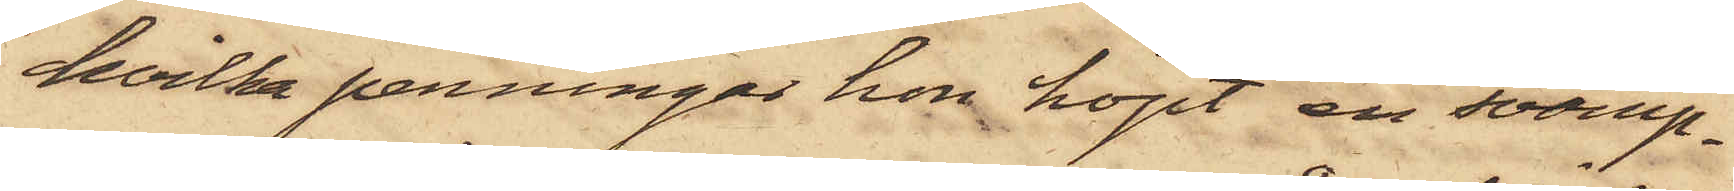hvilka penningar hon köpt en svamp¬
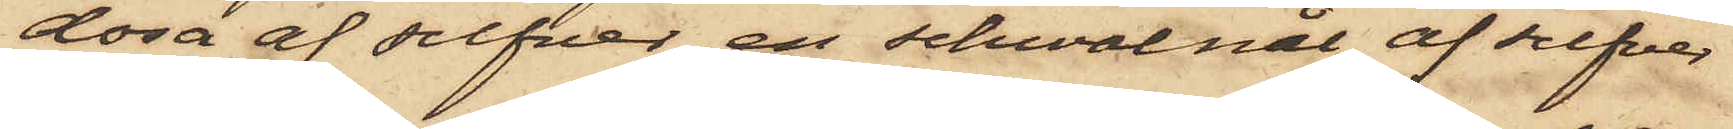dosa af silfver, en schwalnål af silfver
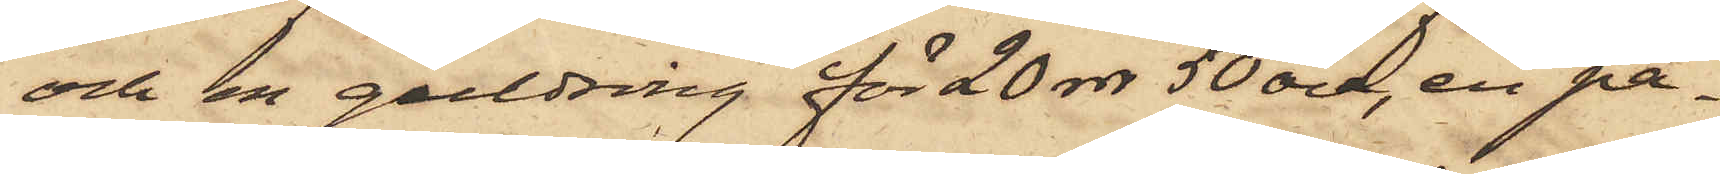och en guldring för 20 rdr 50 öre, en pa¬
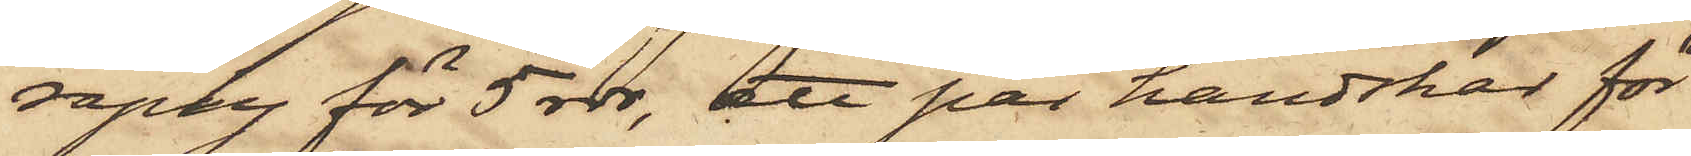raply för 5 rdr, ett par handskar för
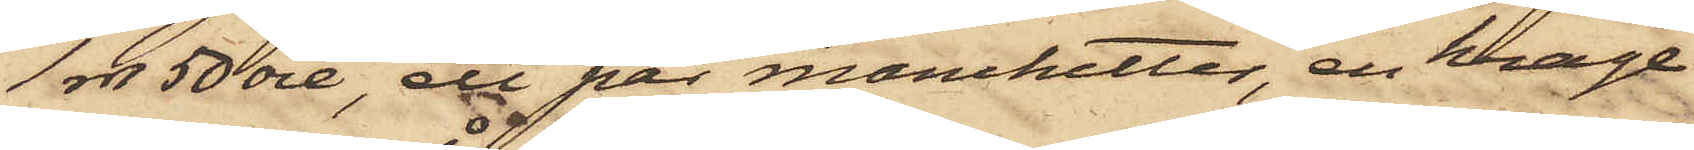1 rdr 50 öre, ett par manchetter, en krage
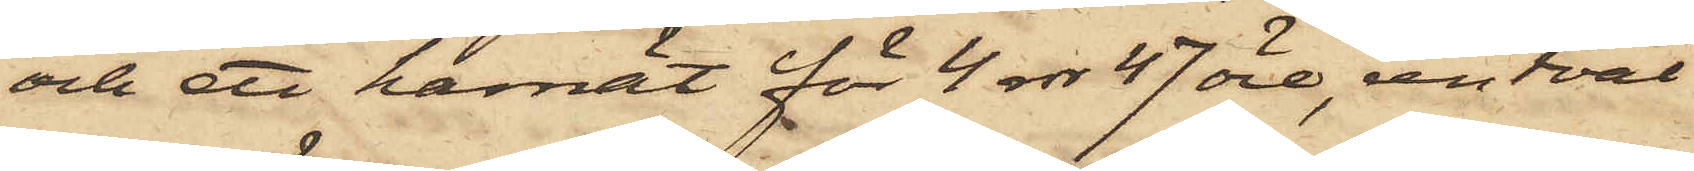och ett hårnät för 4 rdr 47 öre, en tvål
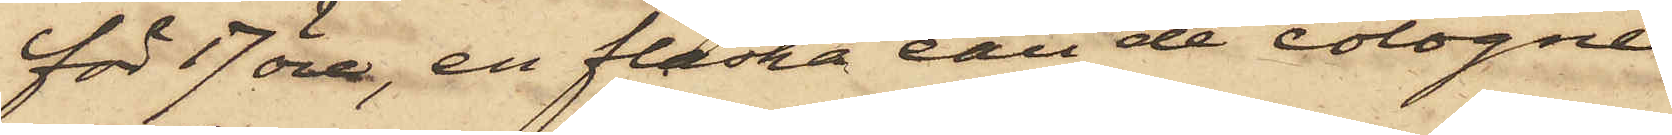för 17 öre, en flaska eau de cologne
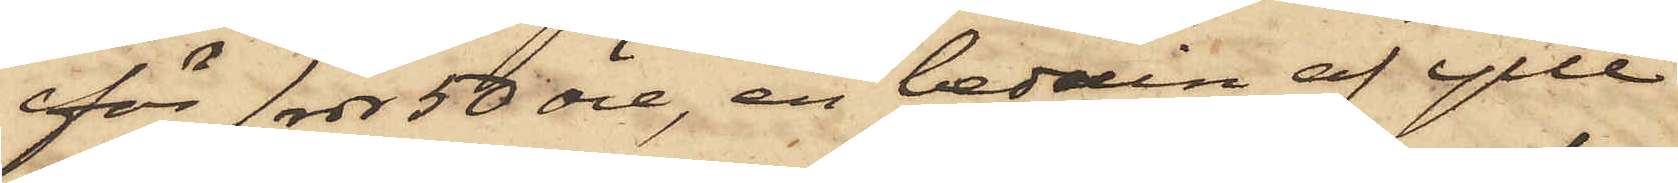för 1 rdr 50 öre, en beduin af ylle
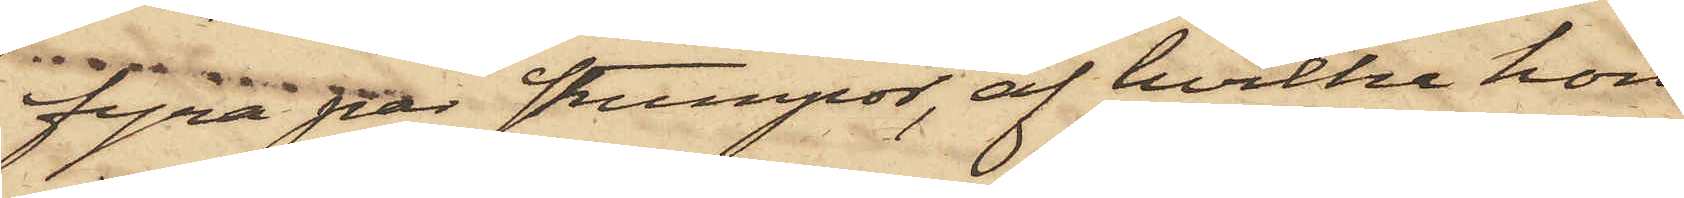fyra par strumpor, af hvilka hon
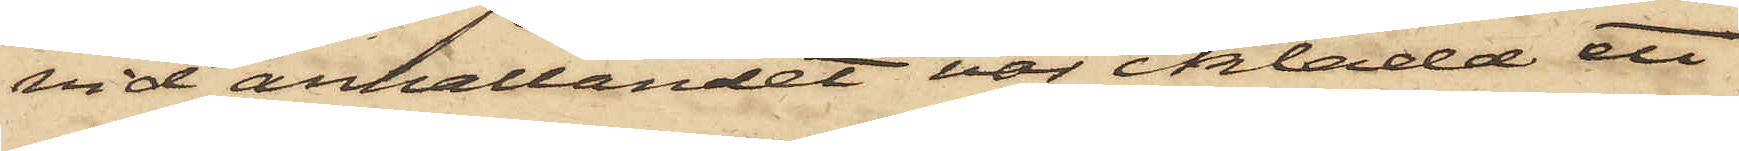vid anhållandet var iklädd ett
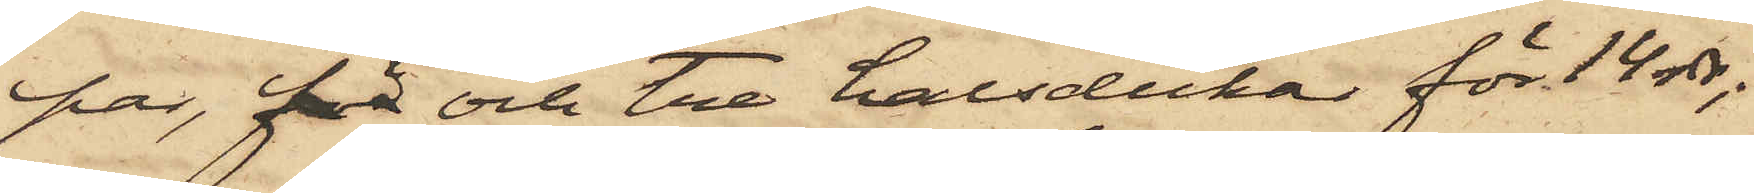par, för och tre halsdukar för 14 rdr;
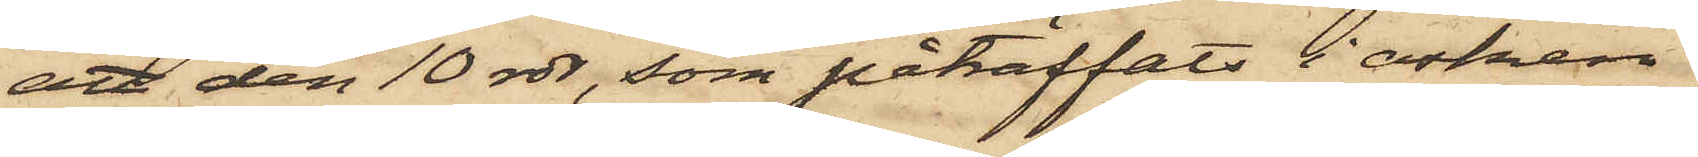att den 10 rdr, som påträffats i asken
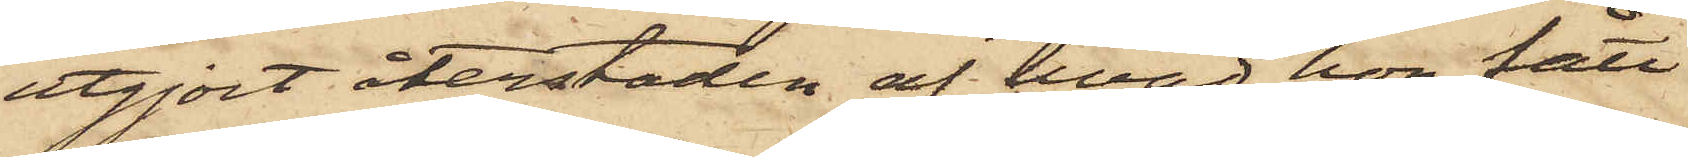utgjort återstoden af hvad hon fått
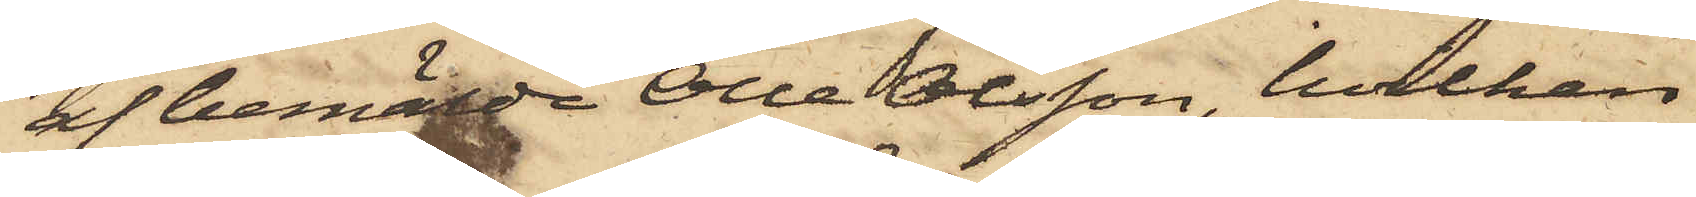af bemälde Olle Olsson, hvilken
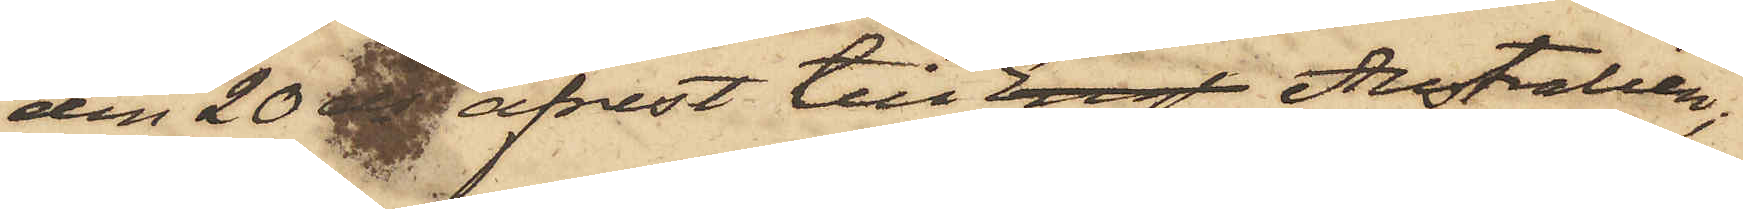den 20 ds afrest till Engl Australien;
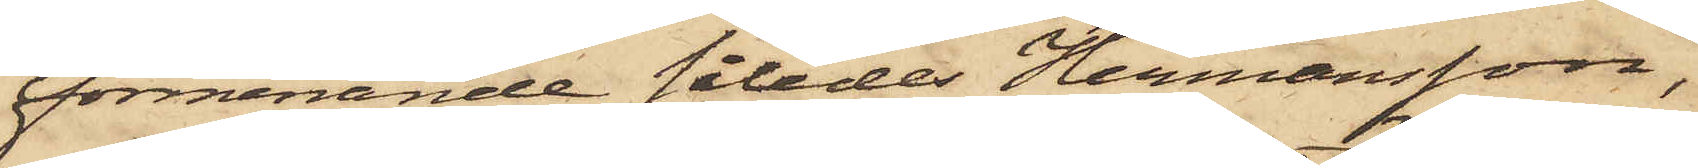förmanande således Hermansson,
